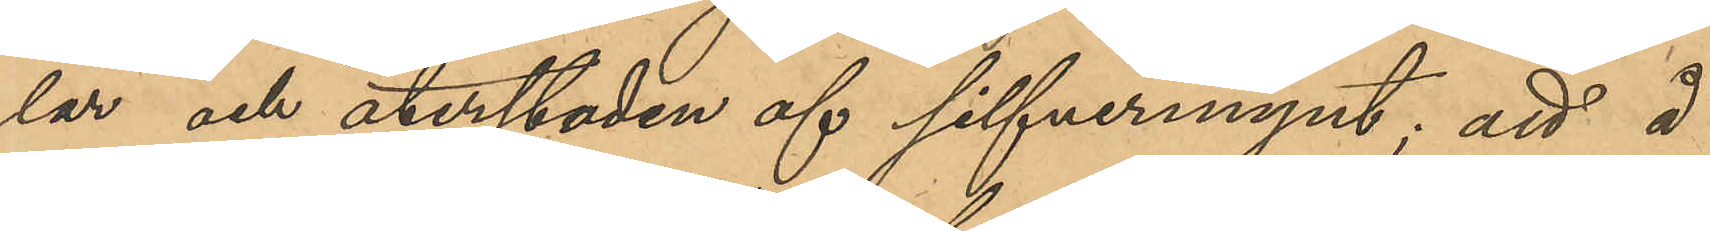lar och återstoden af silfvermynt; att å
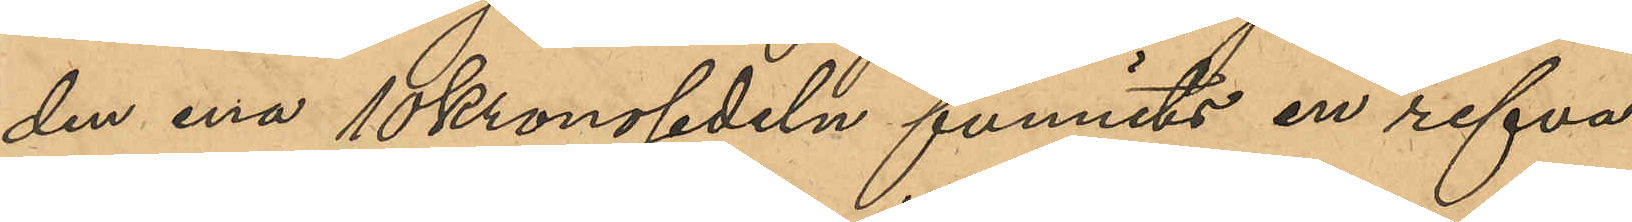den ena 10 kronosedeln funnits en refva
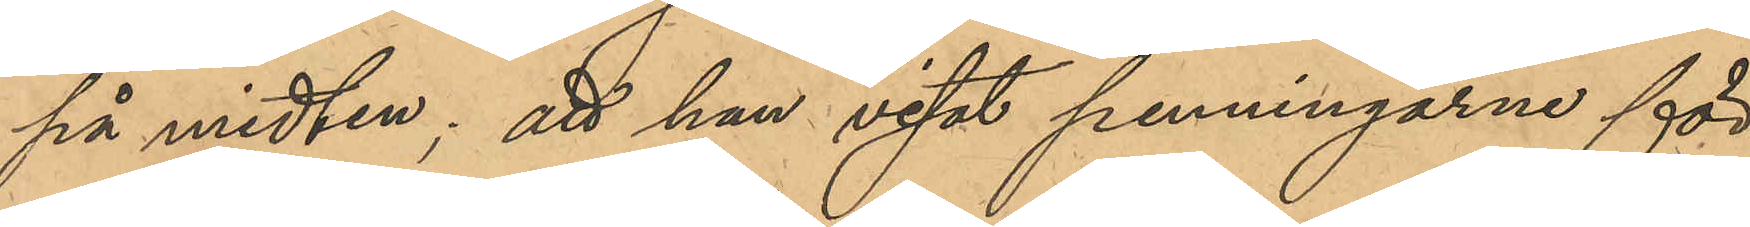på midten; att han visat penningarne för
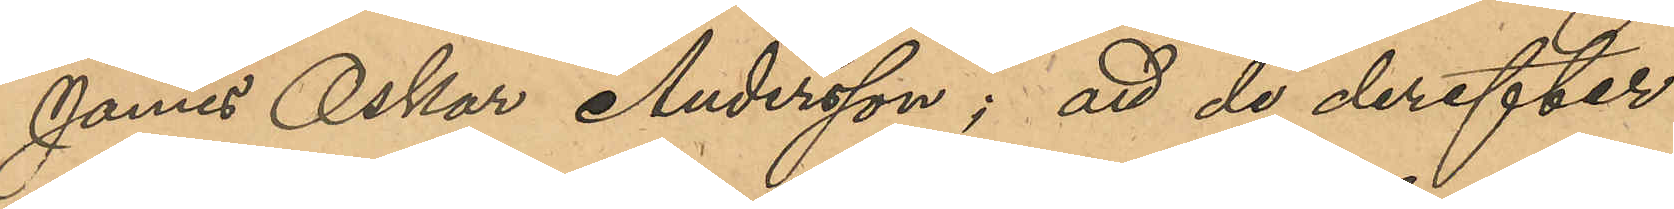James Oskar Andersson; att de derefter
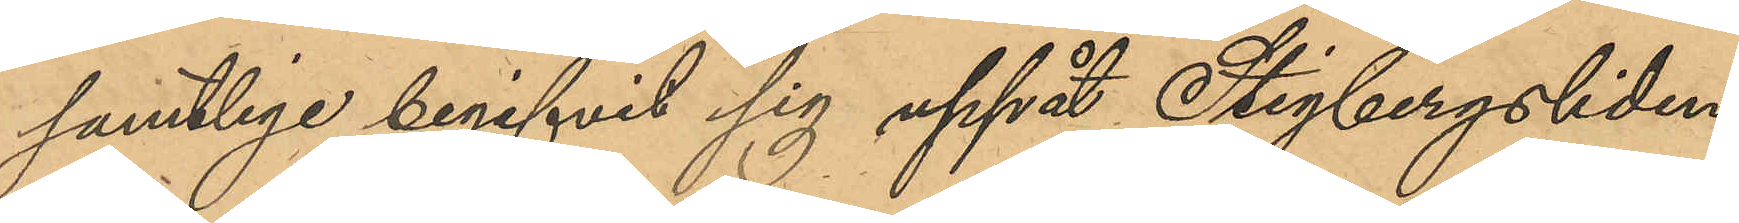samtlige begifvit sig uppåt Stigbergsliden,
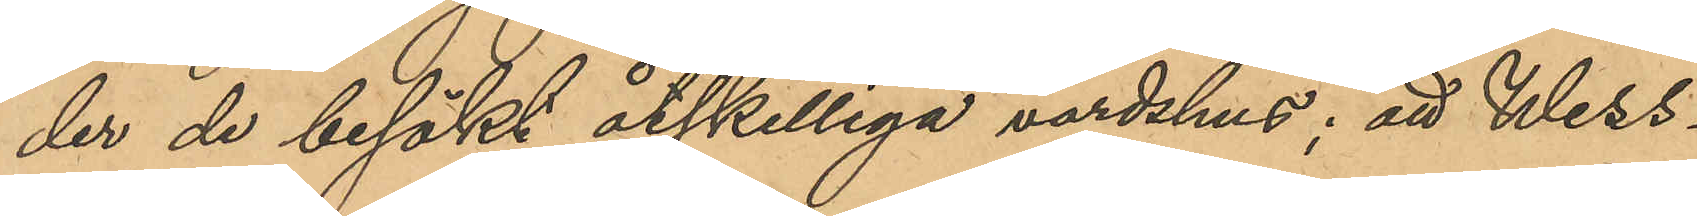der de besökt åtskilliga värdshus; att Wess¬
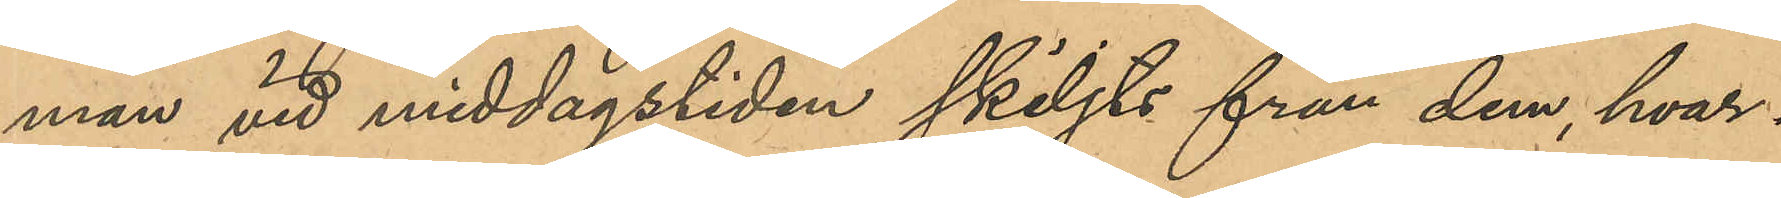man vid middagstiden skiljts från dem, hvar¬
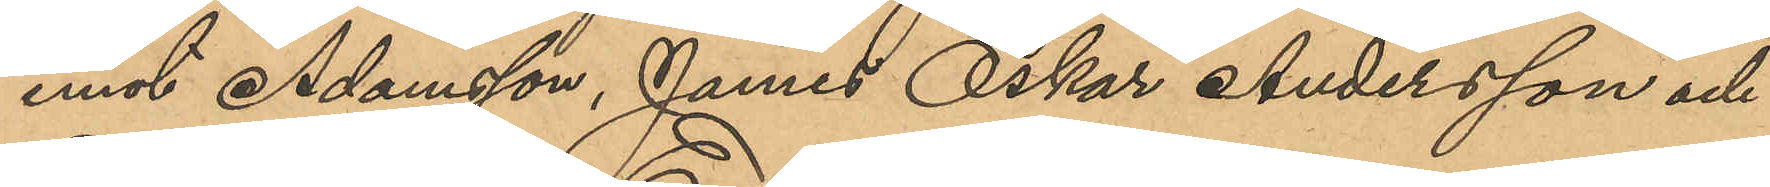emot Adamsson, James Oskar Andersson och
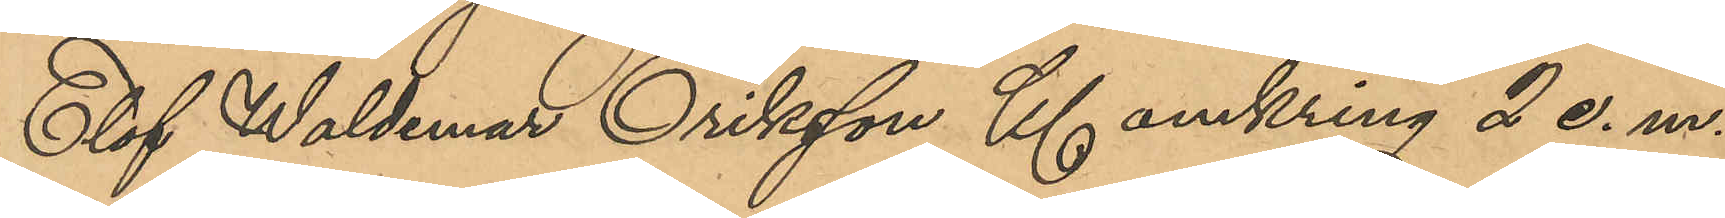Elof Waldemar Eriksson Kl omkring 2 e.m.
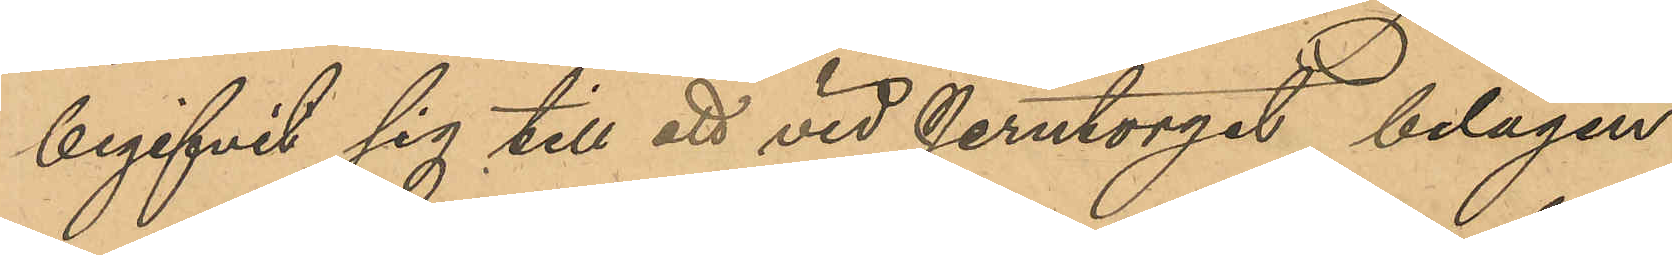begifvit sig till ett vid Jerntorget belägen
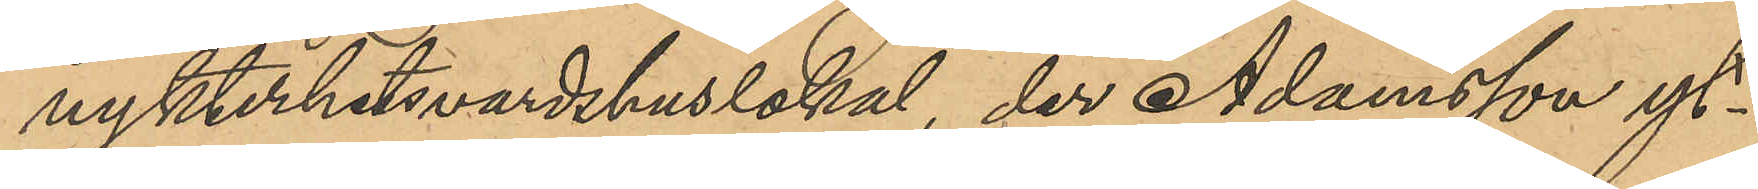nykterhetsvardshuslokal, der Adamsson yt¬
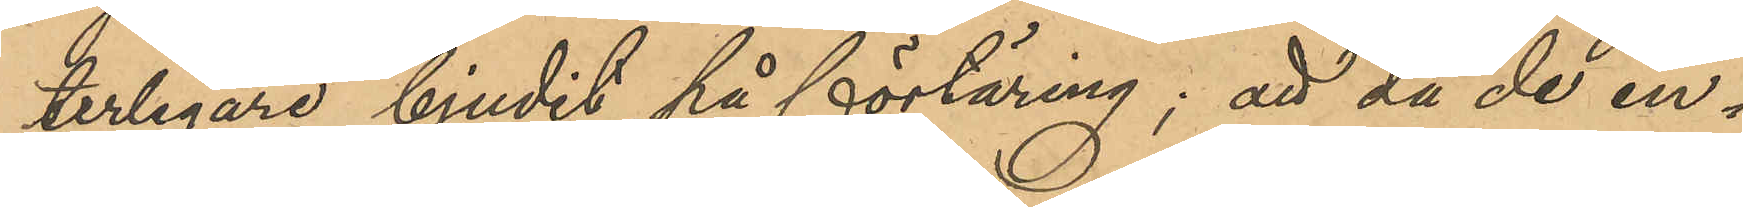terligare bjudit på förtäring; att då de in¬
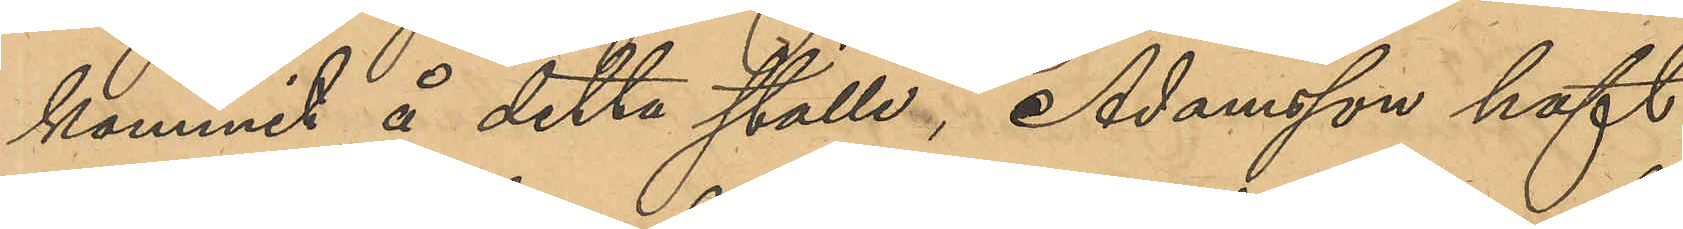kommit å detta ställe, Adamson haft
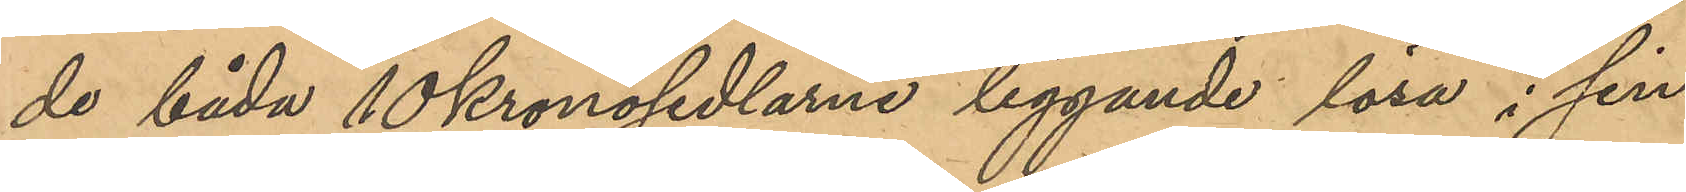de båda 10 kronosedlarne liggande lösa i sin
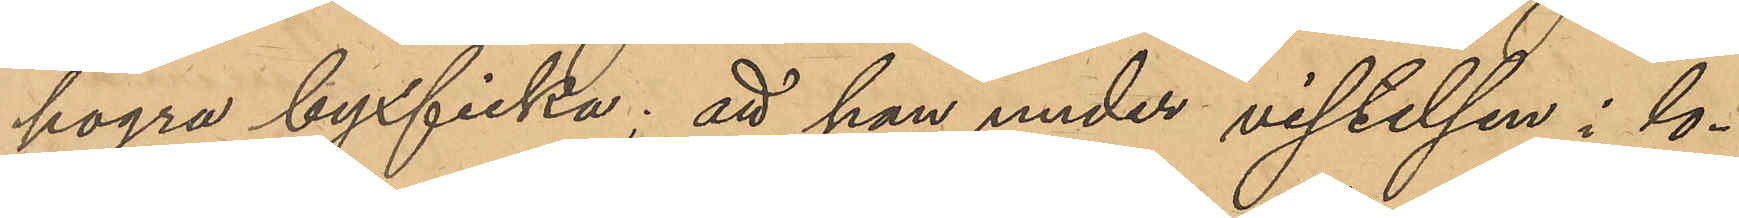högra byxficka; att han under vistelsen i lo¬
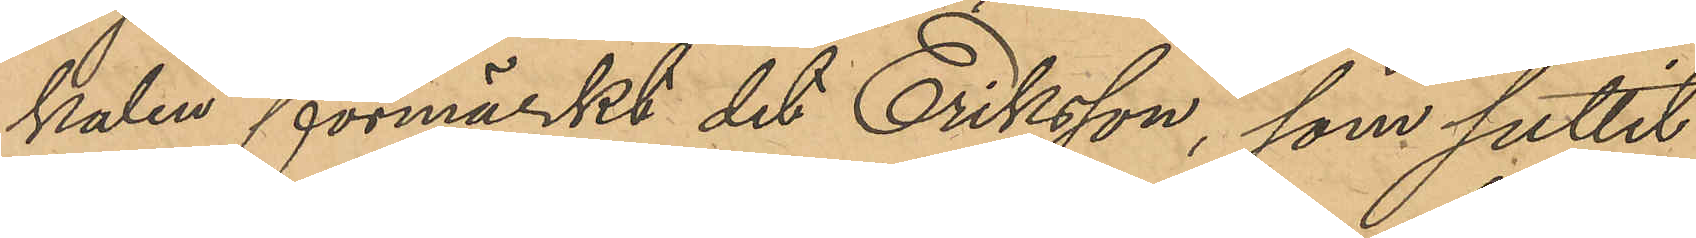kalen förmärkt det Eriksson, som suttit
